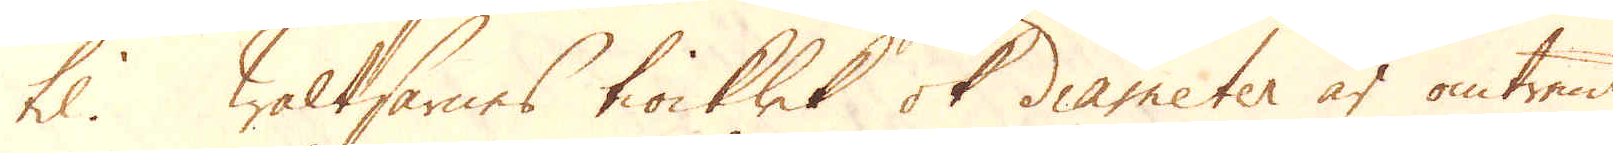til. Waltsarnes tiocklek ok diameter är omtrent
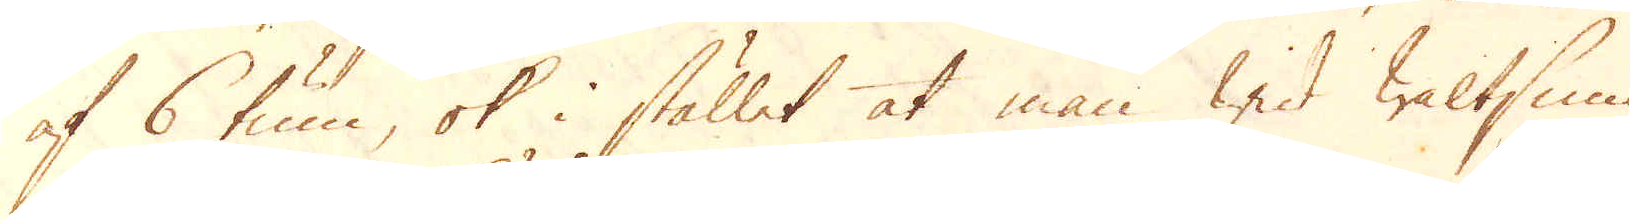af 6 tum, ok i stället at man wid Waltsnin-
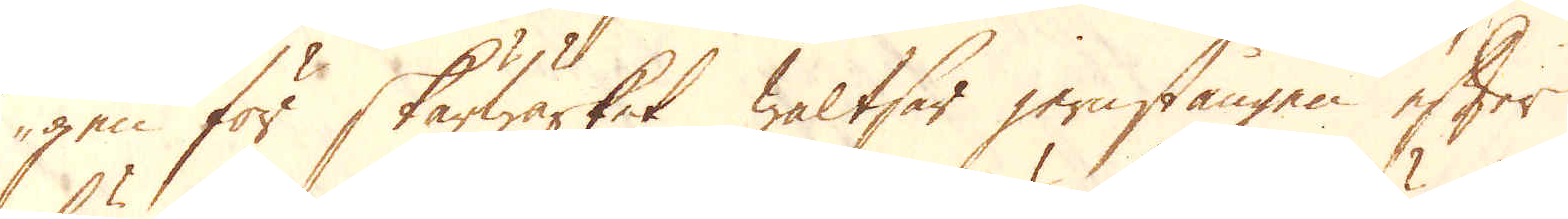gen för Skärwärket waltsar jernstången efter
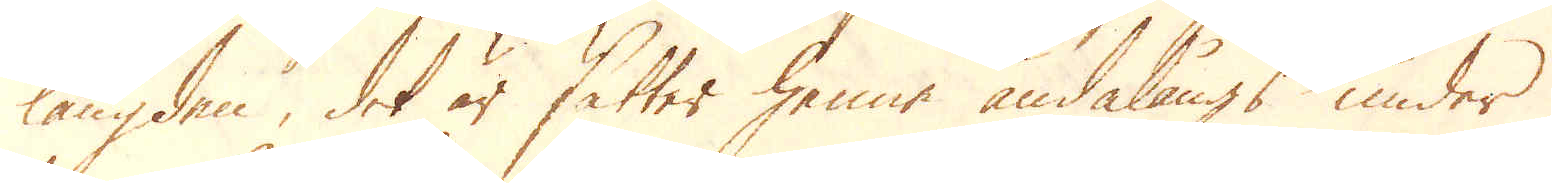längden, det är sätter henne ändalångs under
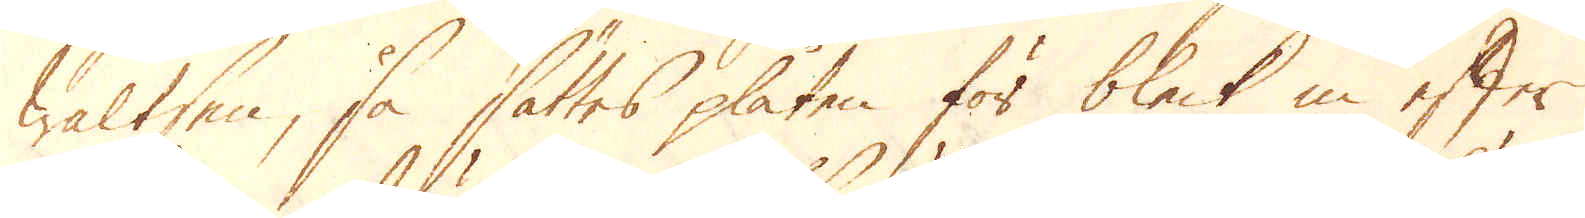Waltsen, så sättes plåten för bleck in efter
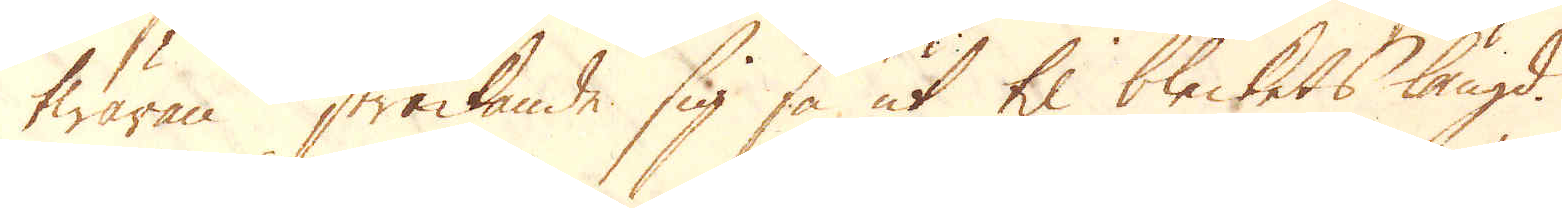twäran sträckande sig så ut til bleckets längd.
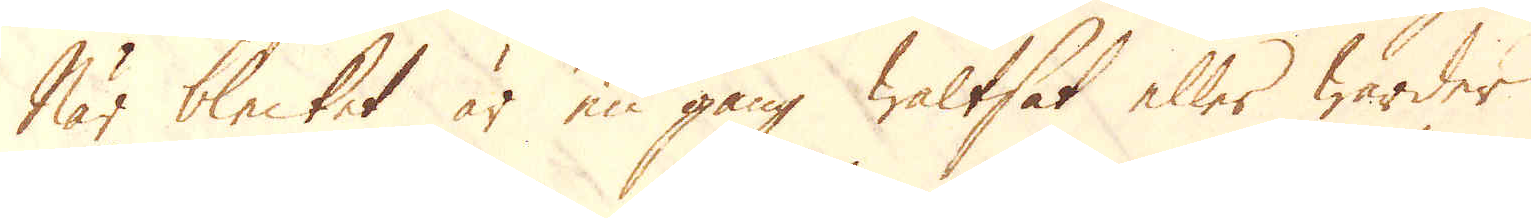När blecket är en gång waltsat eller warder
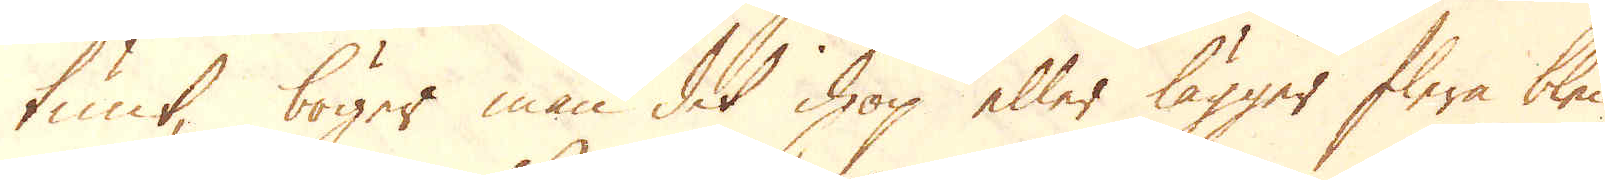tunt, böger man det ihop eller lägger flere bleck
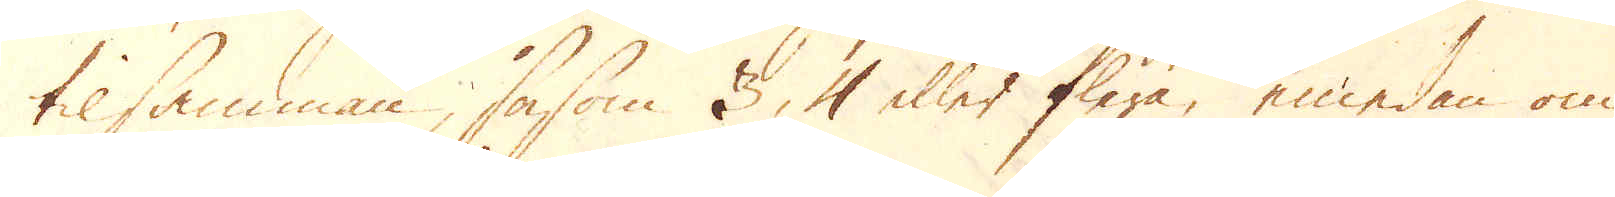tilsamman, såsom 3, 4 eller flera, emedan om
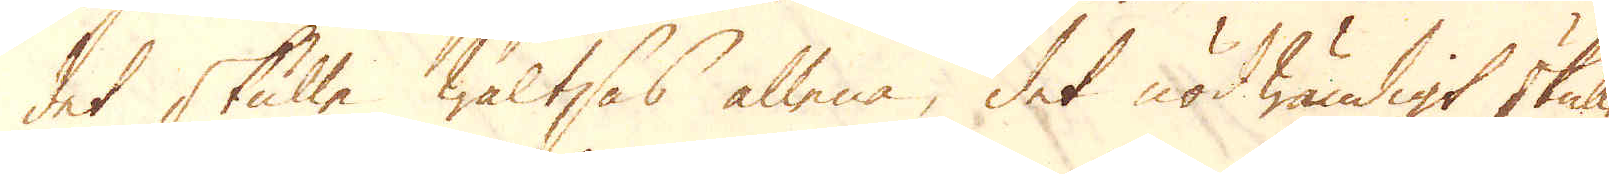det skulle waltsas allena, det nödwändigt skulle
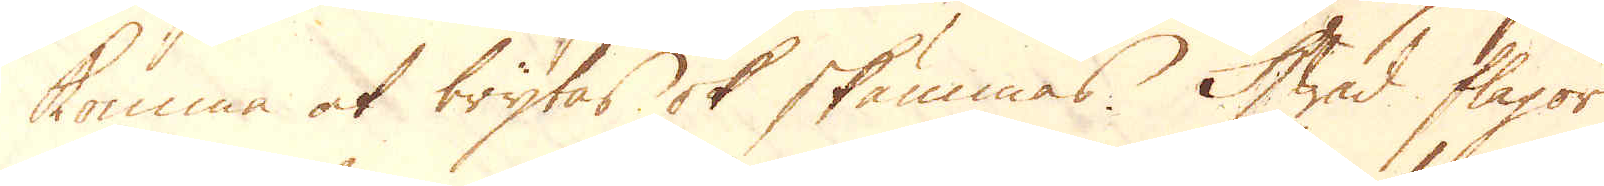komma at brytas ok skämmas. Hwad flagor
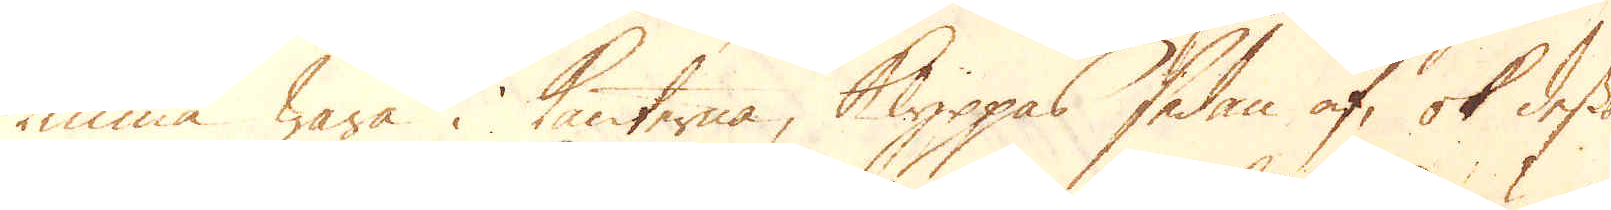kunna wara i kanterna, Klippas sedan af, ok dessa
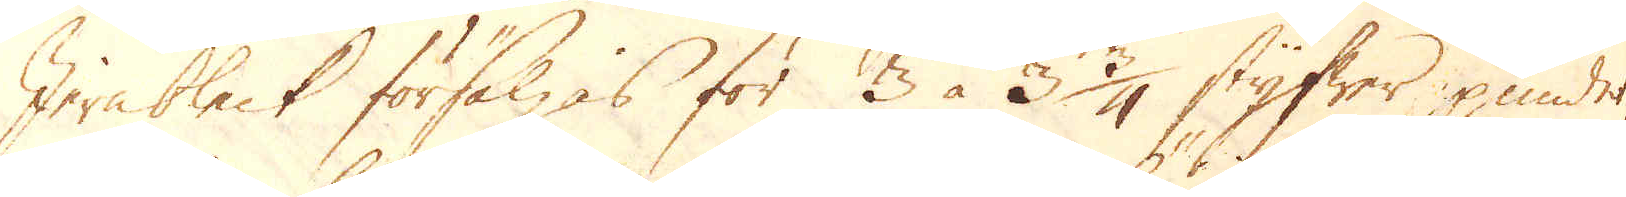Jernbleck försäljas för 3 à 3 3/4 styfwer pundet,
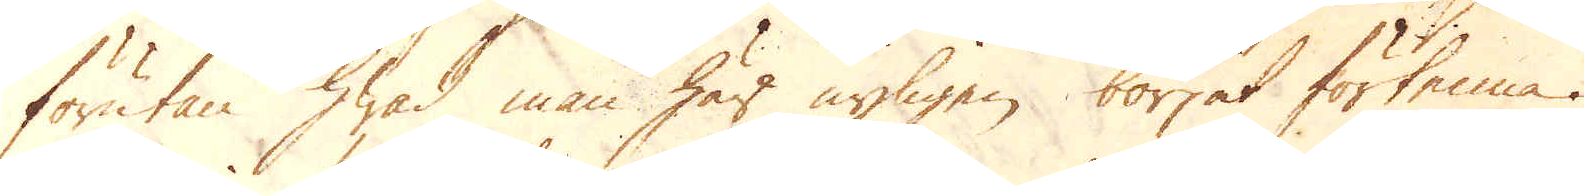förutan hwad man här nyligen börjat förtenna.
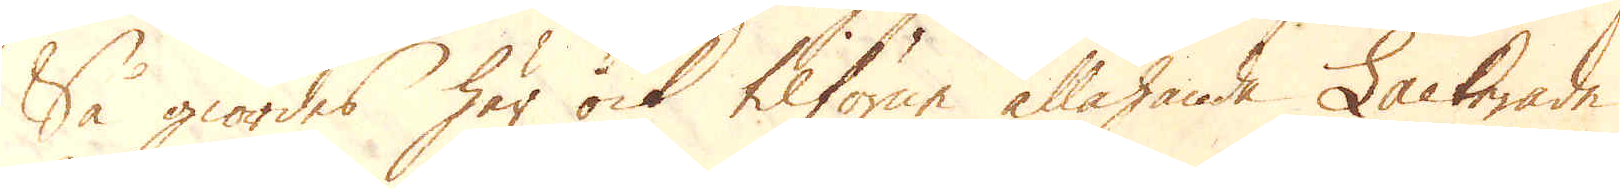Så giordes här ock tilförne allahanda Lackerade
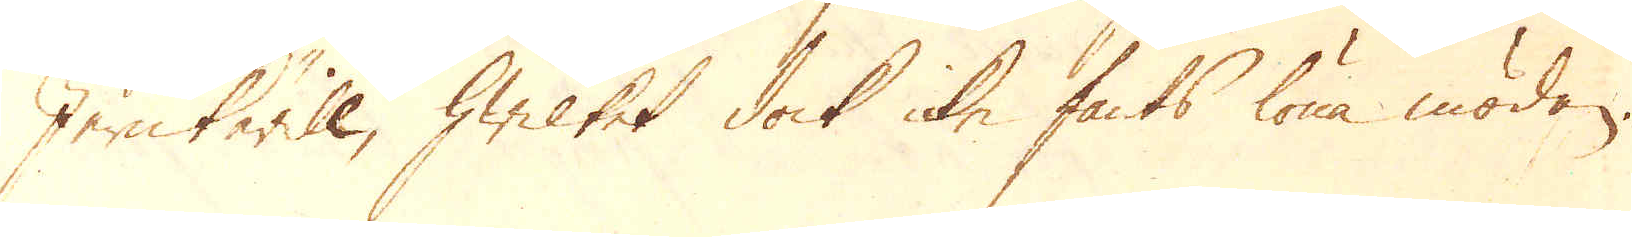Jernkärill, hwilket dock icke fants löna mödan
